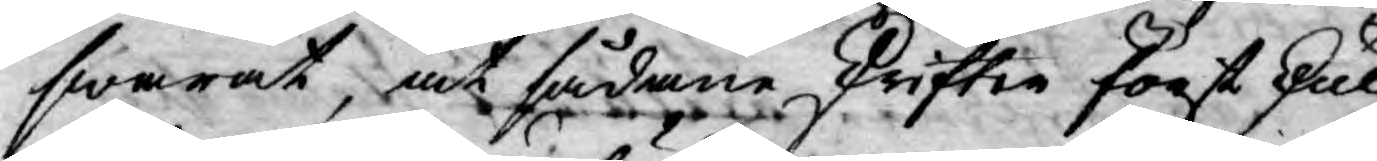swarat, at sådane skrifter först skul¬
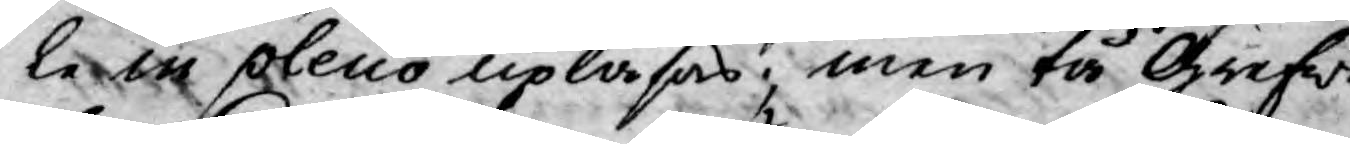le in pleno upläsas; men tå Grefwe
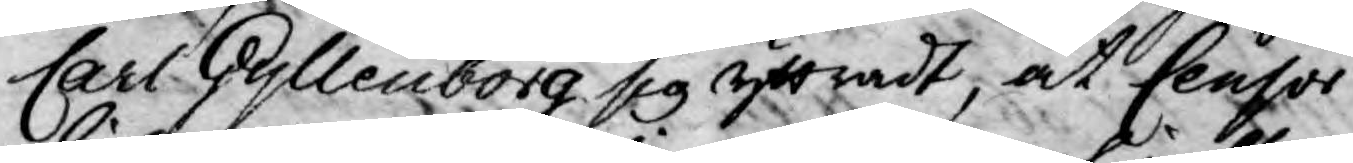Carl Gyllenborg sig yttradt, at Censor
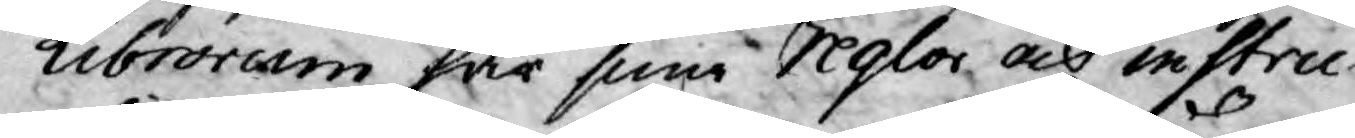Librorum har sine reglor och instru¬
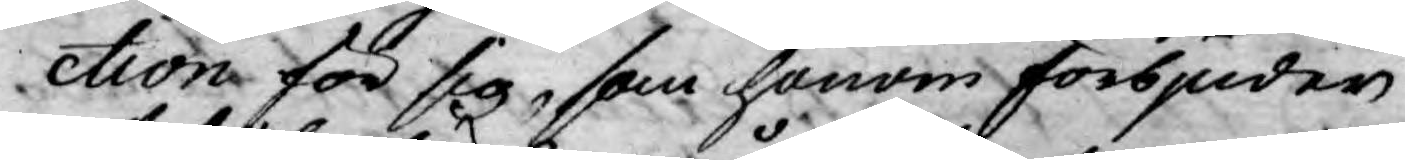ction för sig, som honom förbjuder
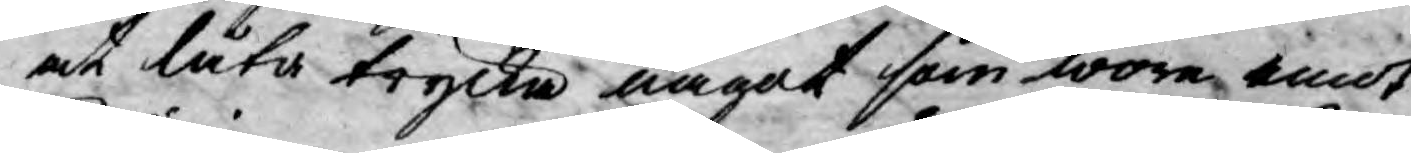at låta trycka något som wore emot
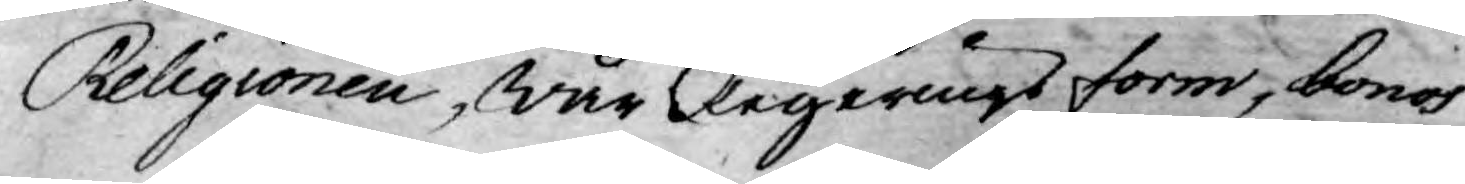Religionen, wår Regerings form, bonos
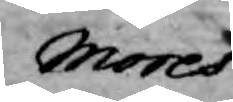Mores
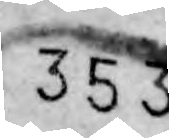353
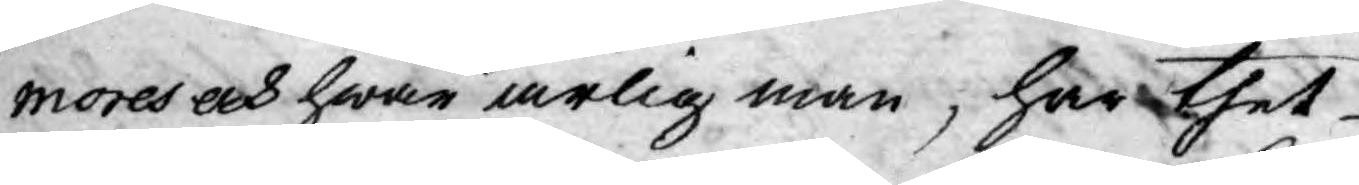mores och hwar ärlig man, har thet
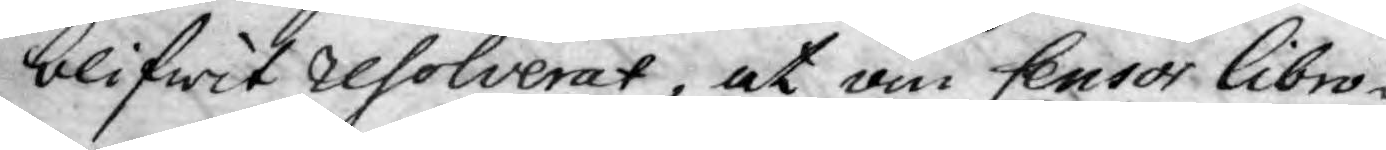blifwit resolverat, at om Censor Libro-
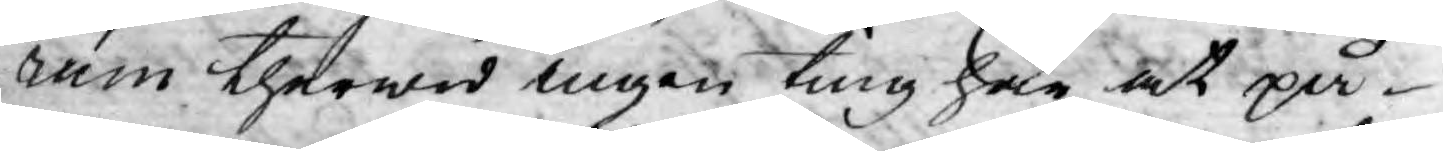rum therwid ingen ting har at på¬
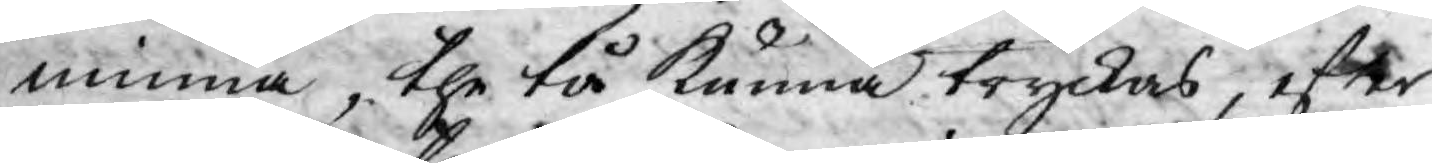minna, the tå kunna tryckas, efter
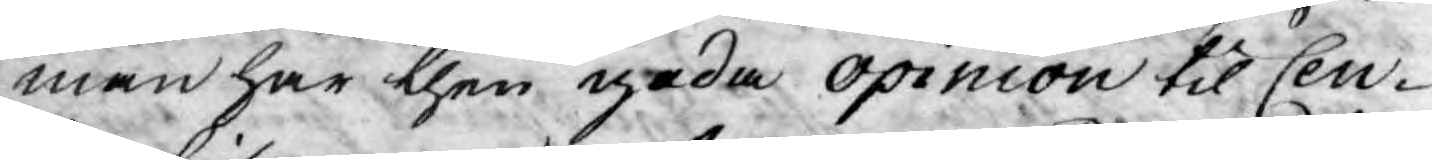man har then goda opinion til Cen¬
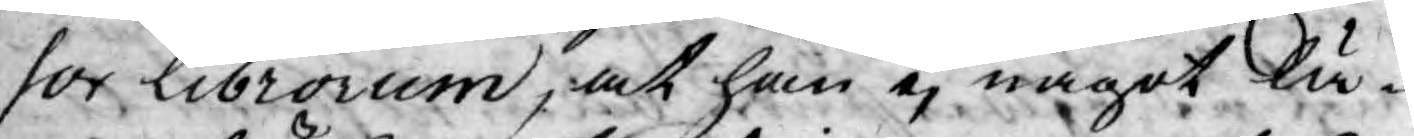sor Librorum, at han ej något lä¬
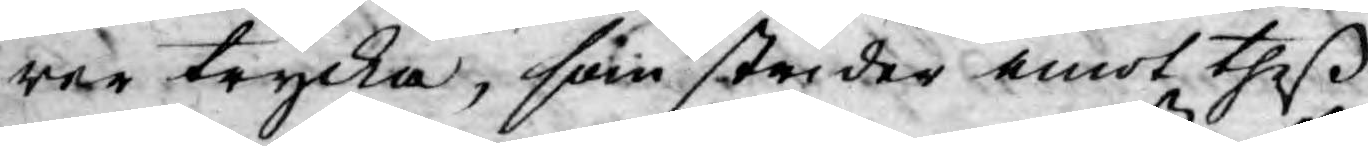rer trycka, som strider emot theß
